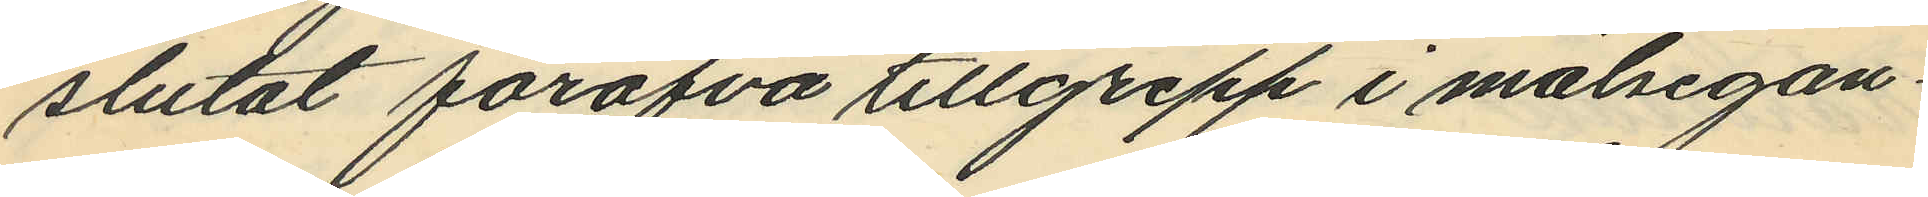slutat föröfva tillgrepp i målsegan¬
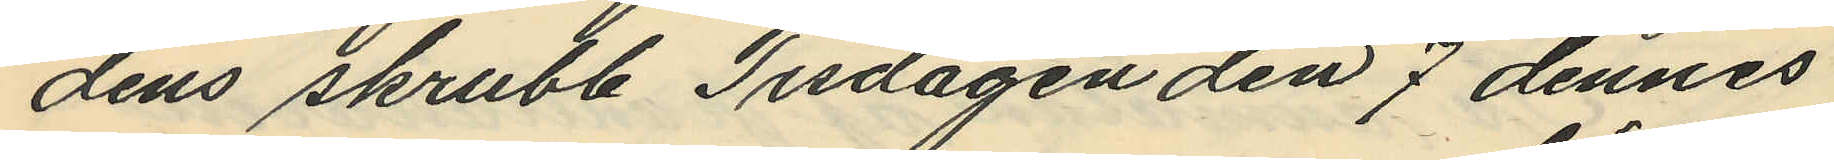dens skrubb Tisdagen den 7 dennes
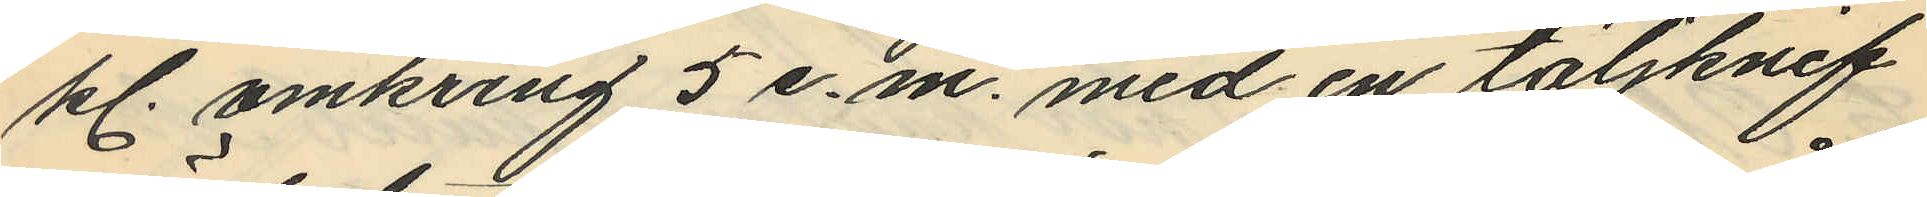kl. omkring 5 e. m. med en täljknif
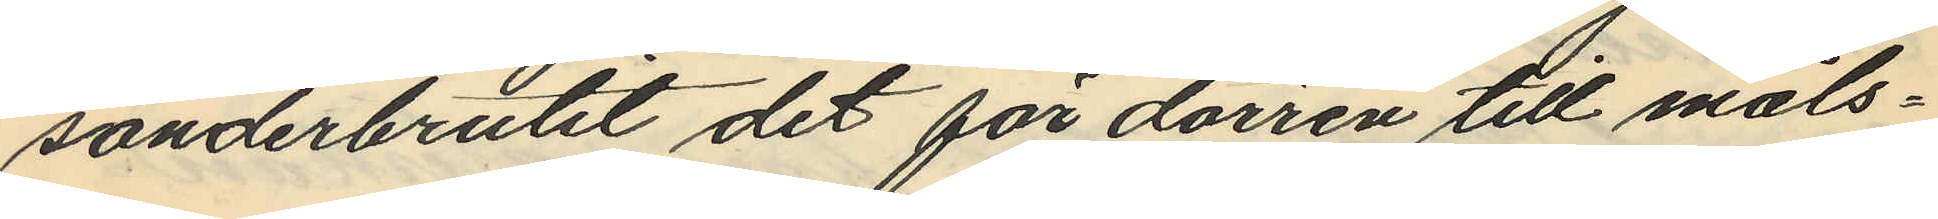sönderbrutit det för dörren till måls¬
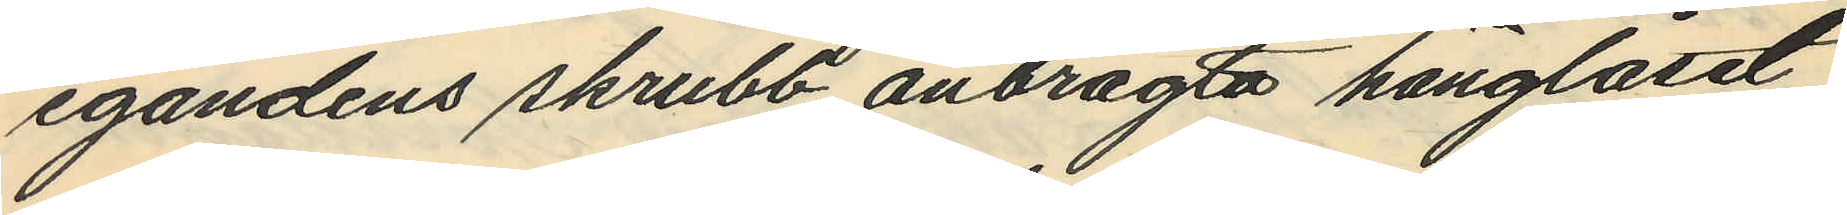egandens skrubb anbragta hänglåset
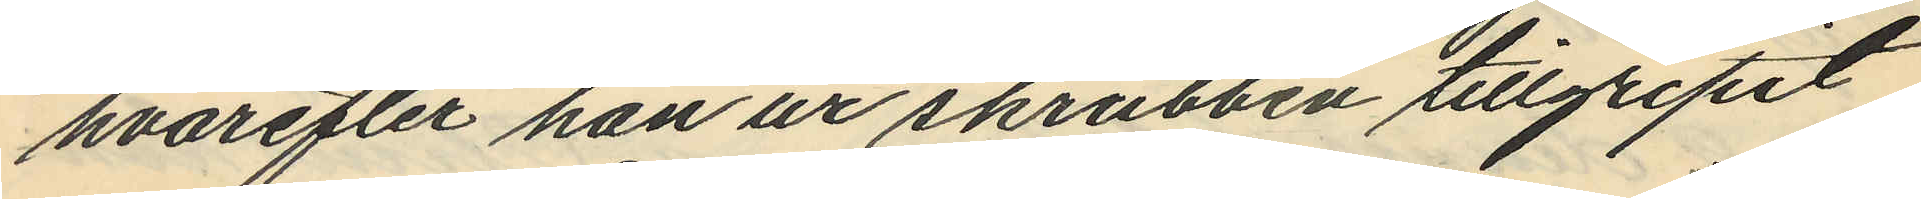hvarefter han ur skrubben tillgripit,
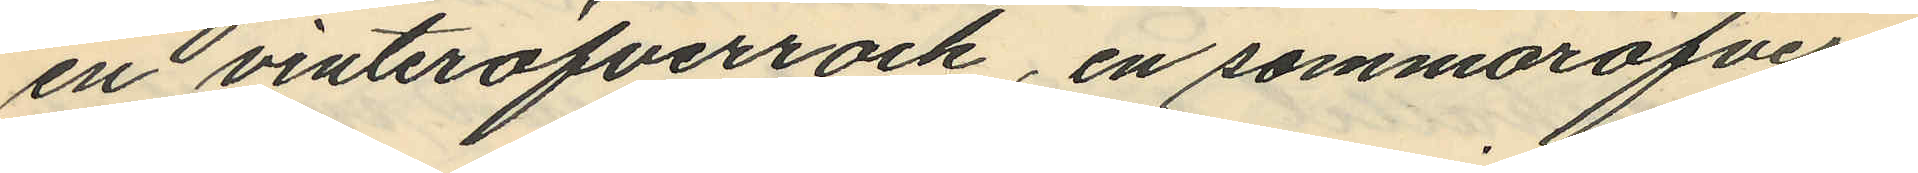en vinteröfverrock, en sommaröfver¬
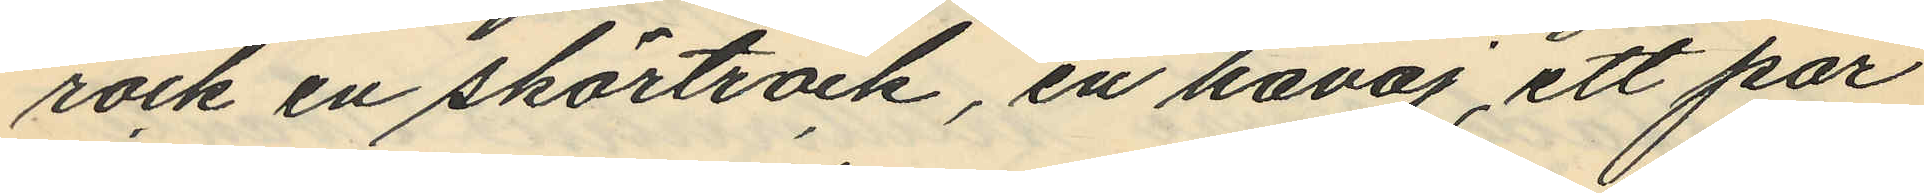rock en skörtrock, en kavaj, ett par
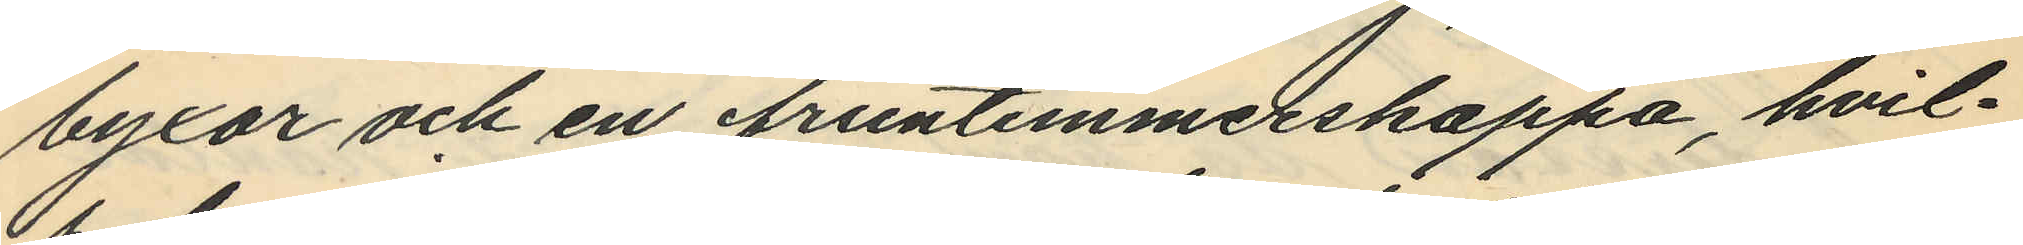byxor och en fruntimmerskappa, hvil¬
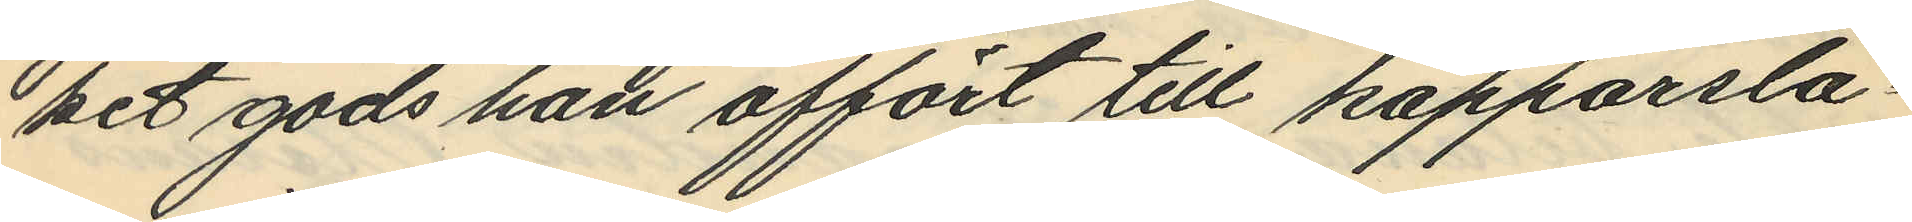het gods han affört till kopparsla¬
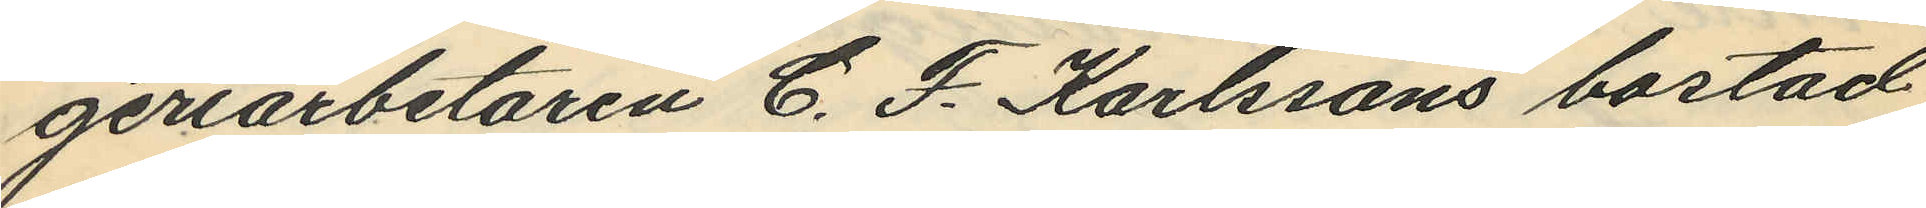geriarbetaren C. F. Karlssons bostad
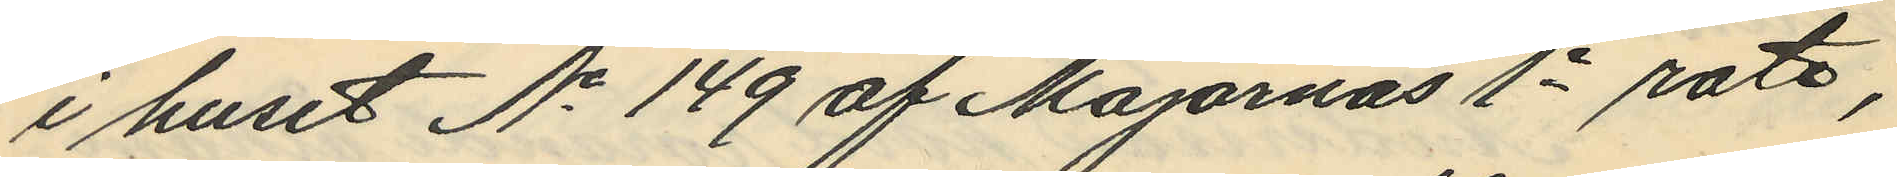i huset No 149 af Majornas 1e rote,
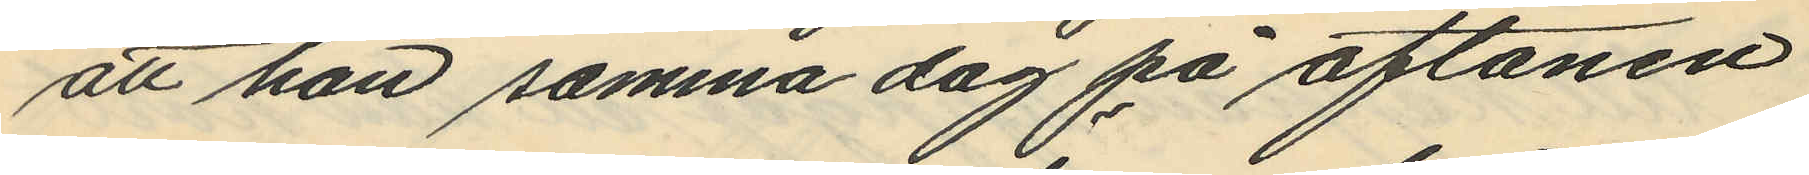att han samma dag på aftonen
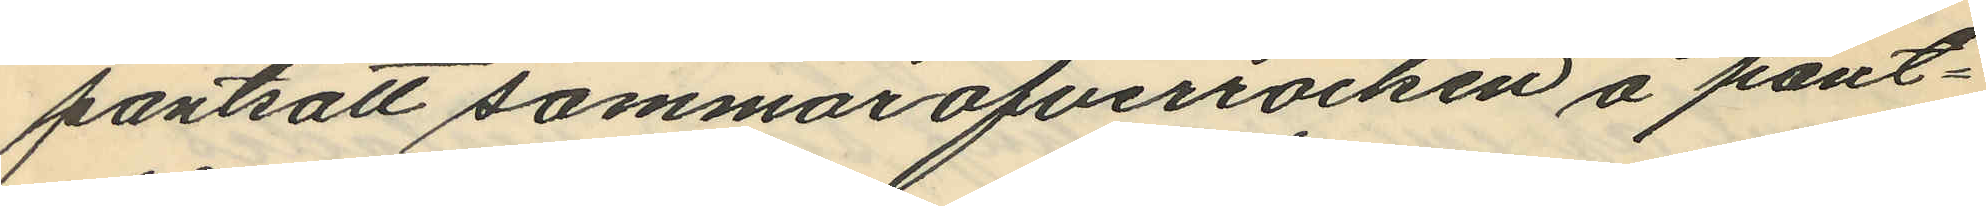pantsatt sommaröfverrocken å pant¬
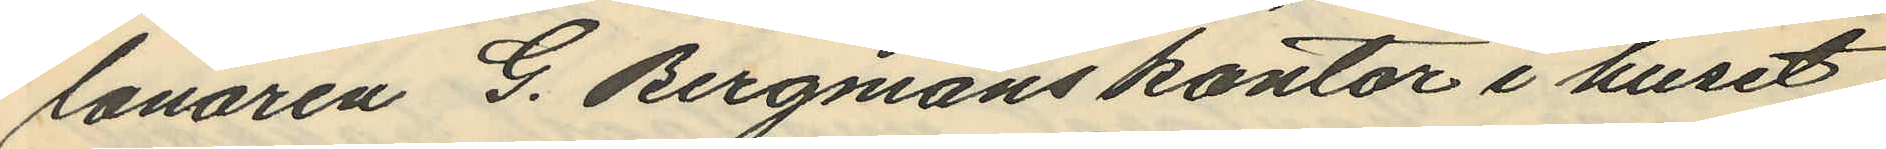lånaren G. Bergmans kontor i huset
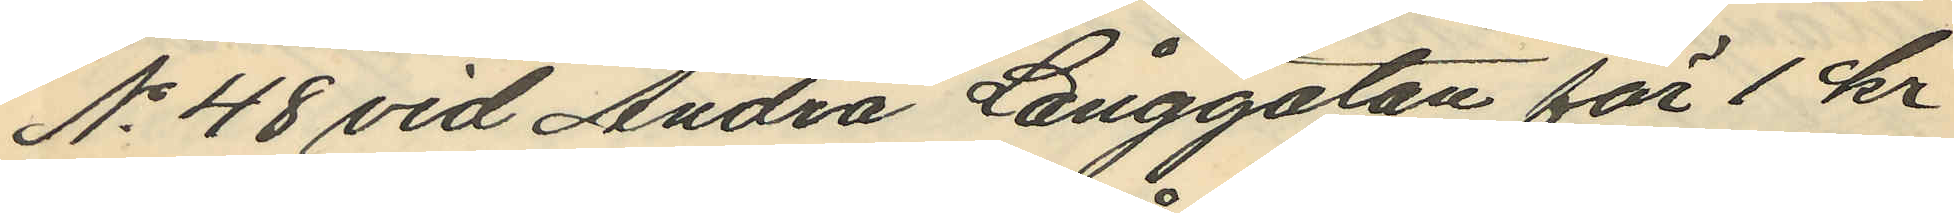No 48 vid Andra Långgatan för 1 kr
